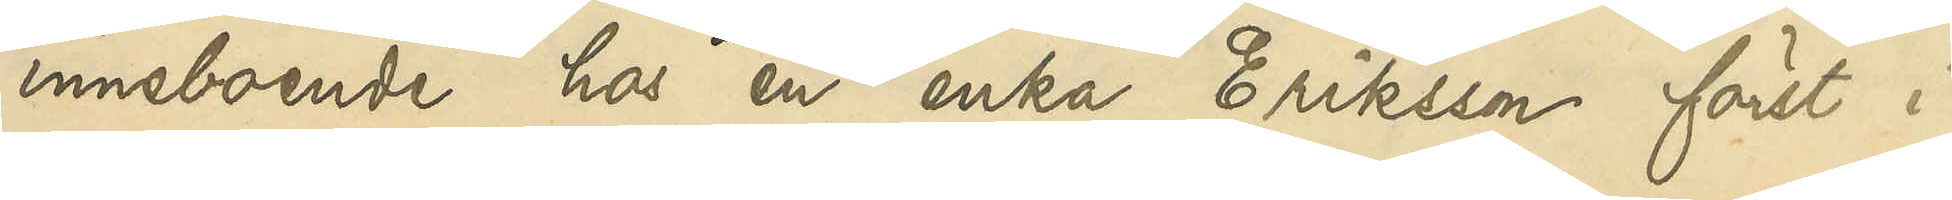inneboende hos en enka Eriksson först i
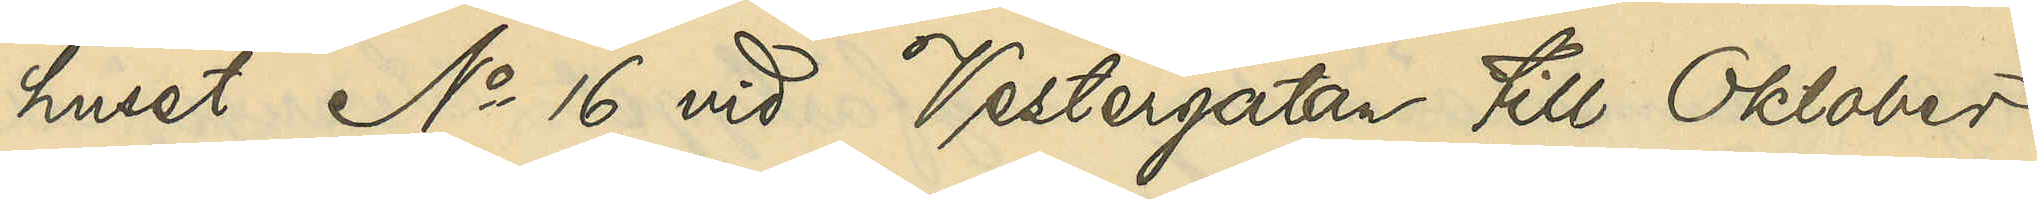huset No 16 vid Vestergatan till Oktober
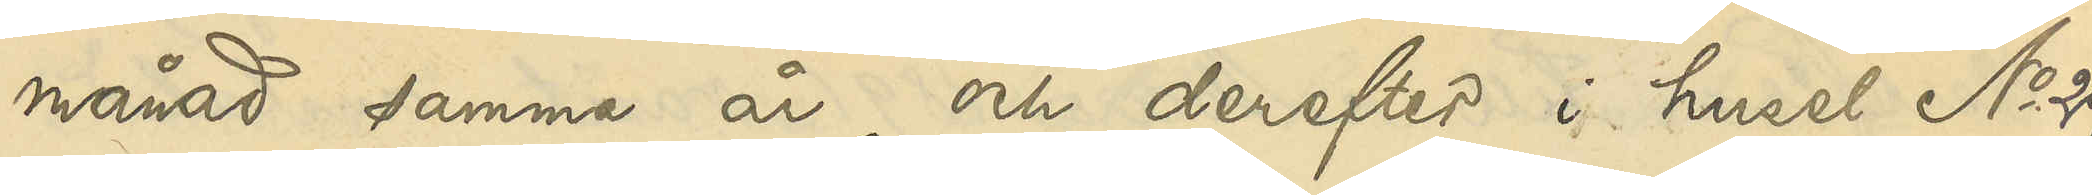månad samma år och derefter i huset No 29
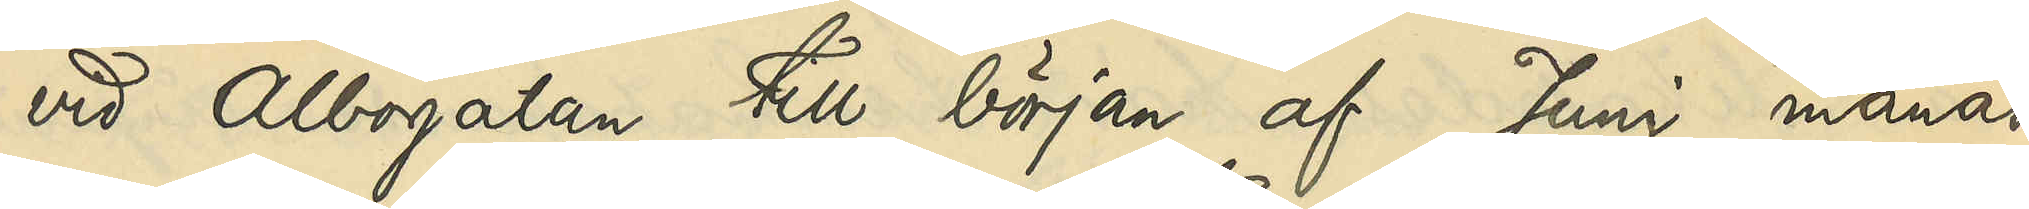vid Albogatan till början af Juni månad
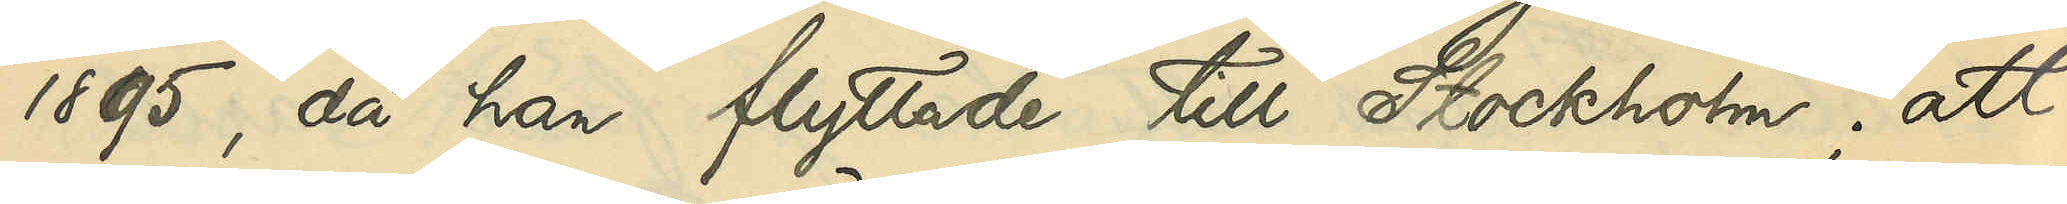1895, då han flyttade till Stockholm; att
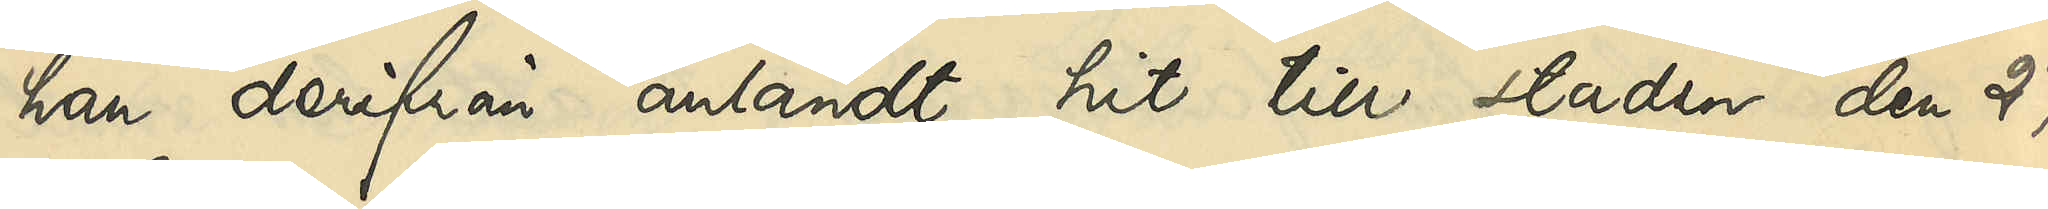han derifrån anländt hit till staden den 27
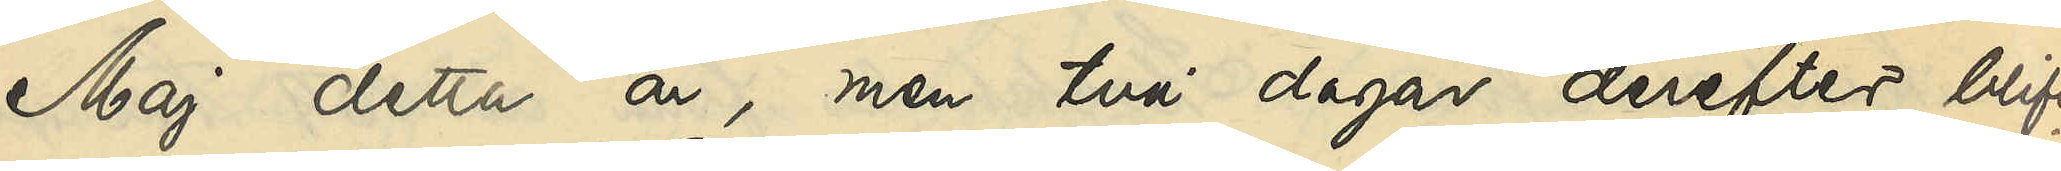Maj detta år, men två dagar derefter blifvit
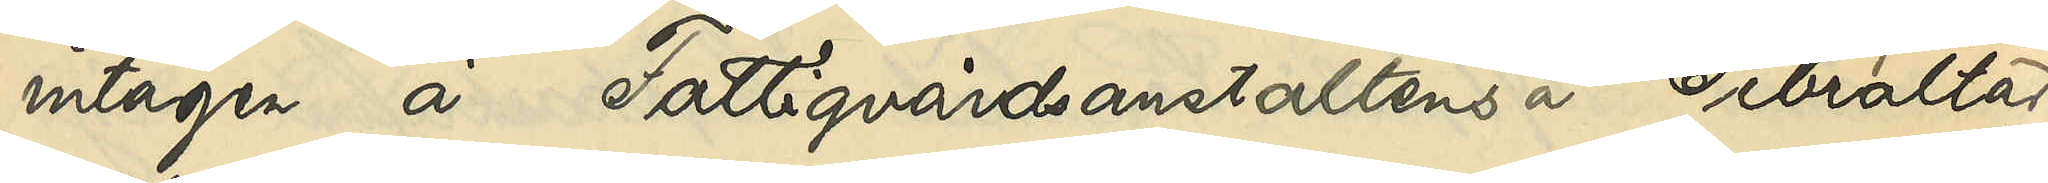intagen å Fattigvårdsanstaltens å Gibraltar
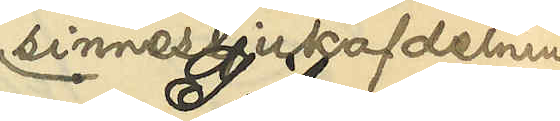sinnessjukafdelning;
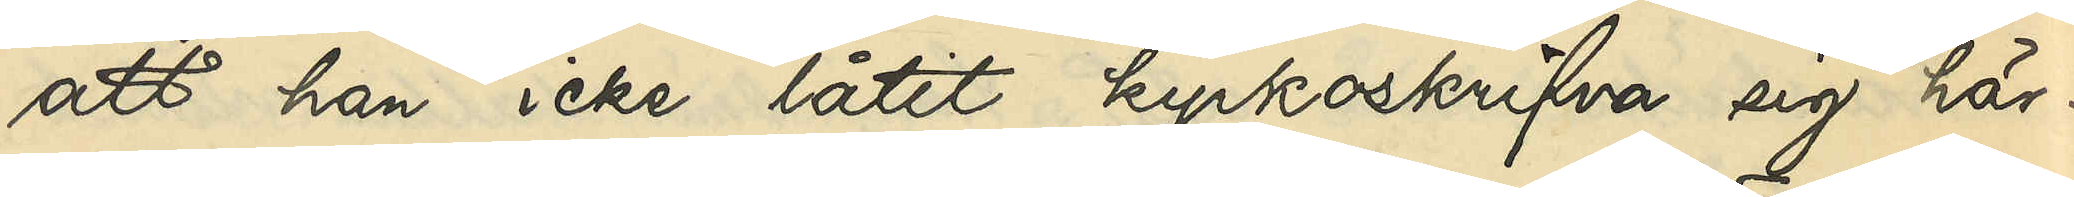att han icke låtit kyrkoskrifva sig här¬
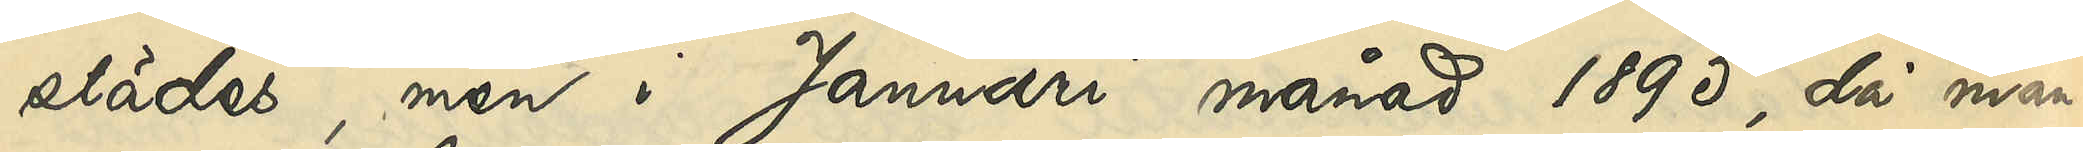städes, men i Januari månad 1895, då man¬
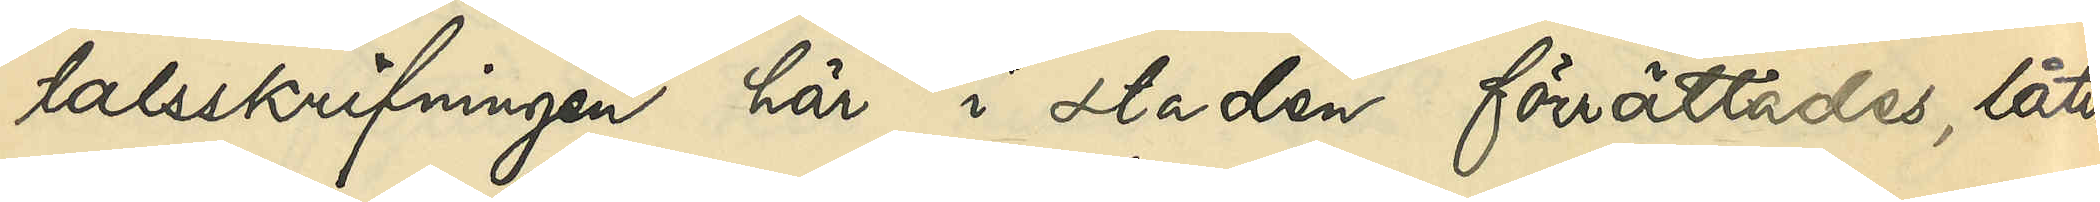talsskrifningen här i staden förrättades, låtit
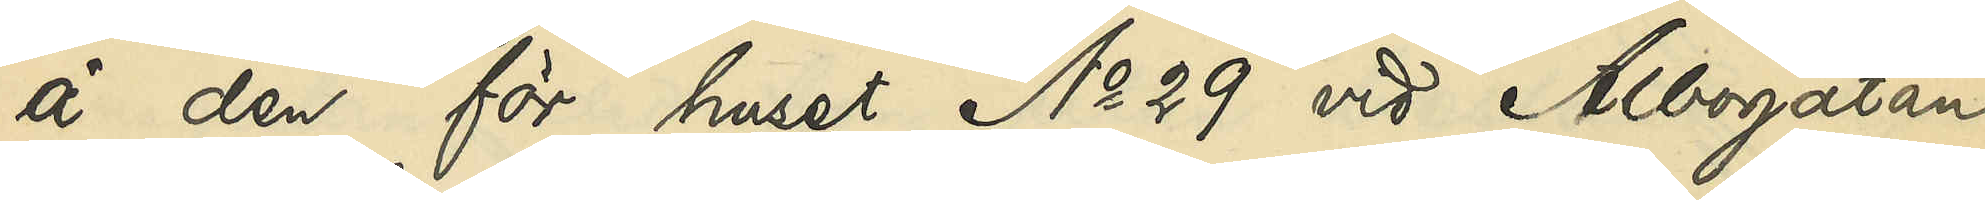å den för huset No 29 vid Albogatan
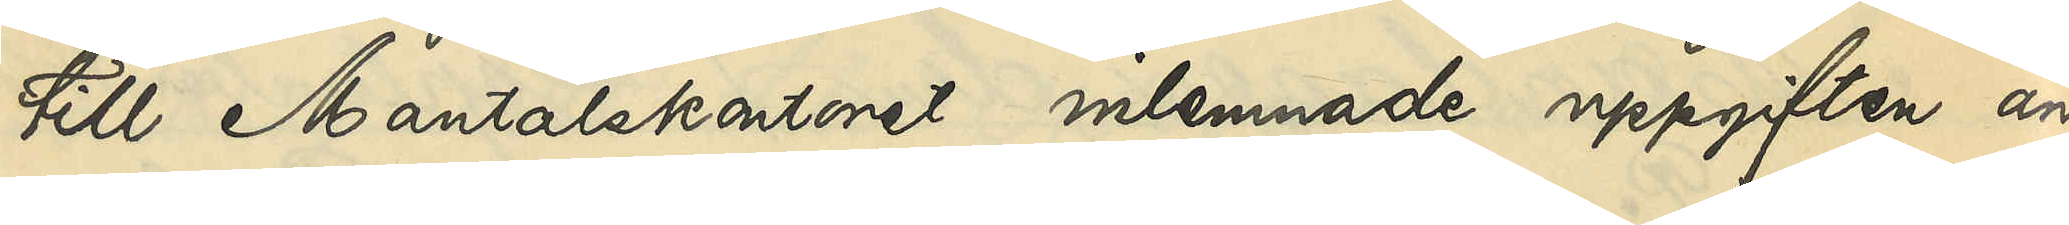till Mantalskontoret inlemnade uppgiften an¬
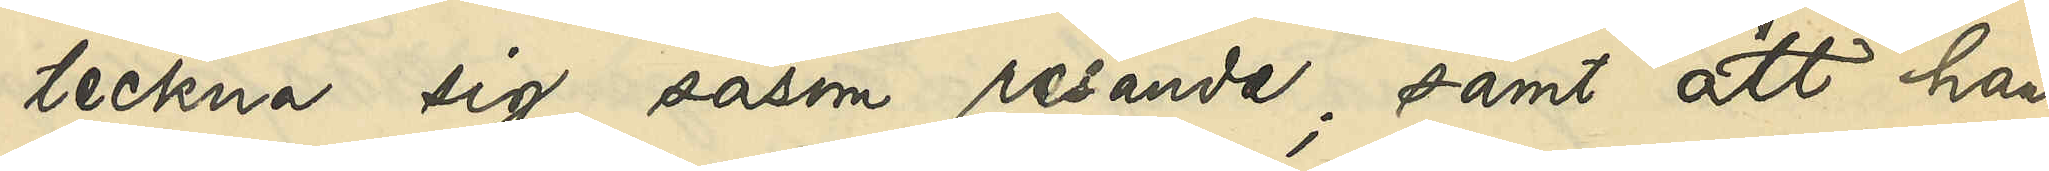teckna sig såsom resande; samt att han
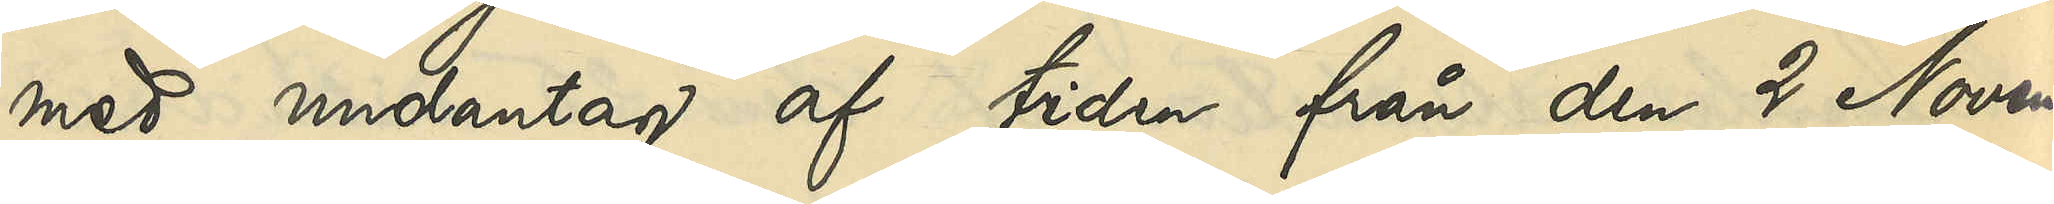med undantag af tiden från den 2 Novem¬
